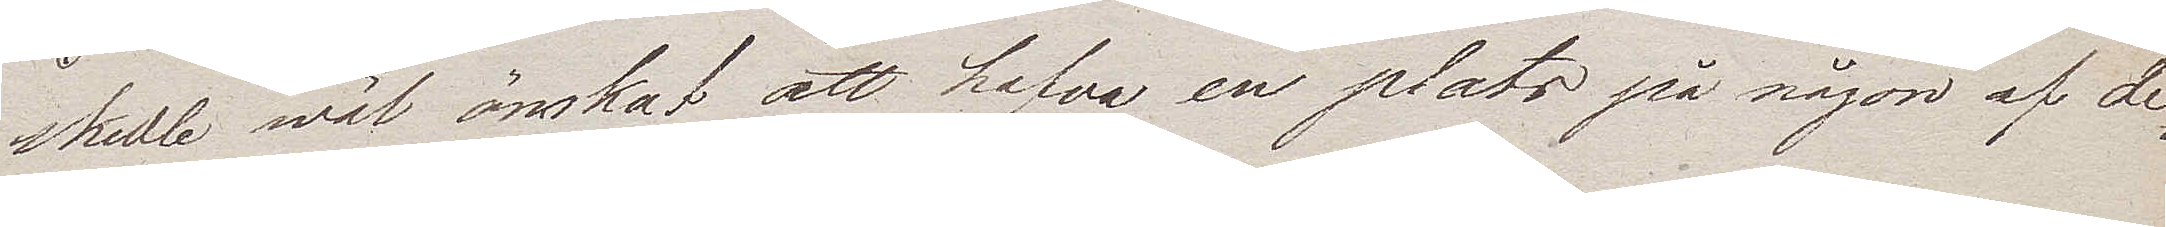skulle wäl önskat att hafva en plats på någon af de
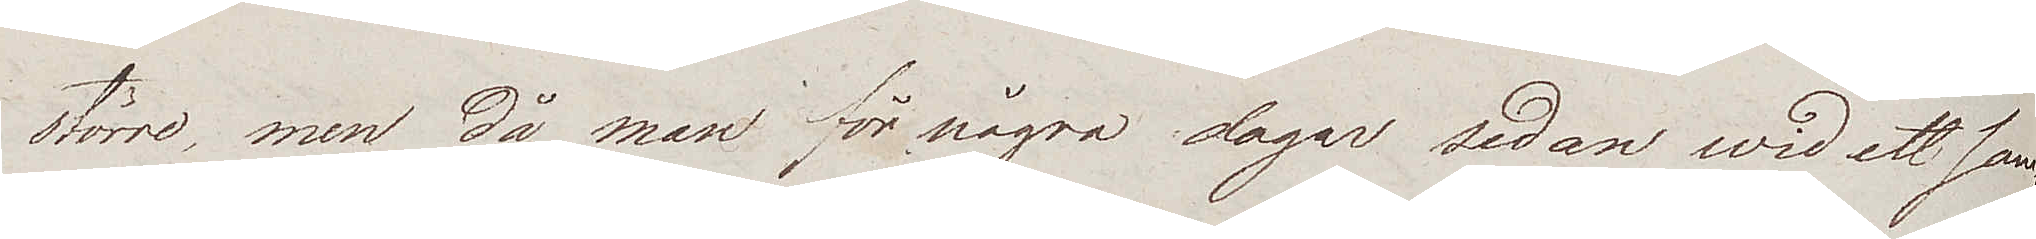större, men då man för några dagar sedan wid ett sam¬
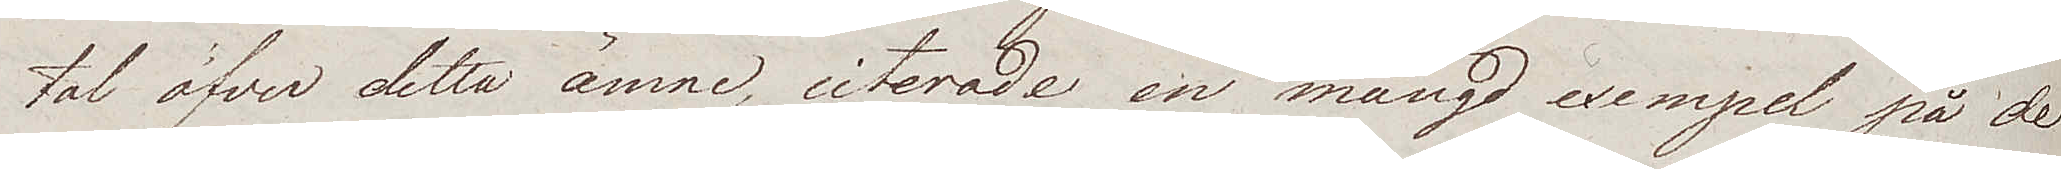tal öfver detta ämne, citerade en mängd exempel på de
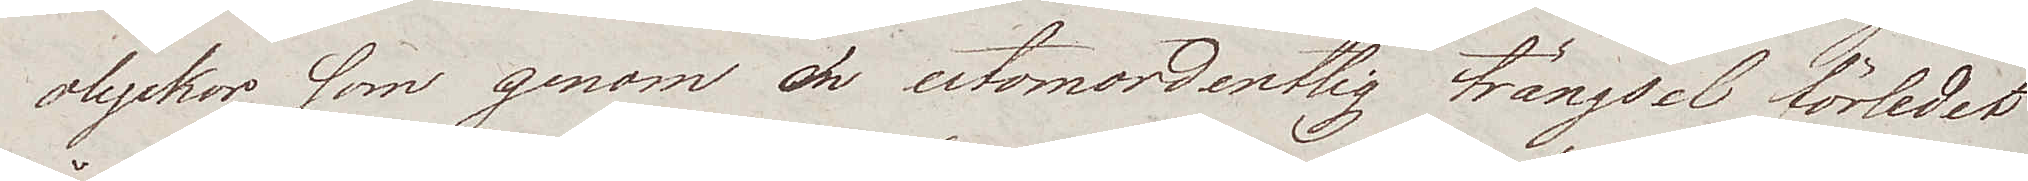olyckor som genom en utomordentlig trängsel förledet
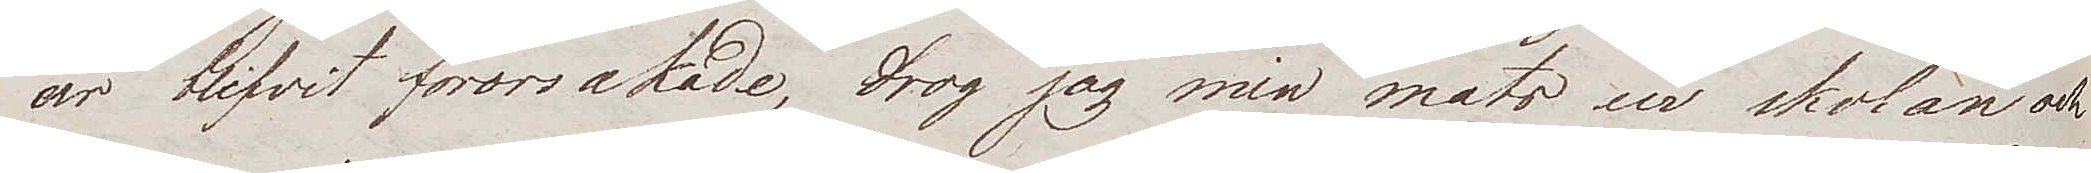år blifvit förorsakade, drog jag min mats ur skolan och
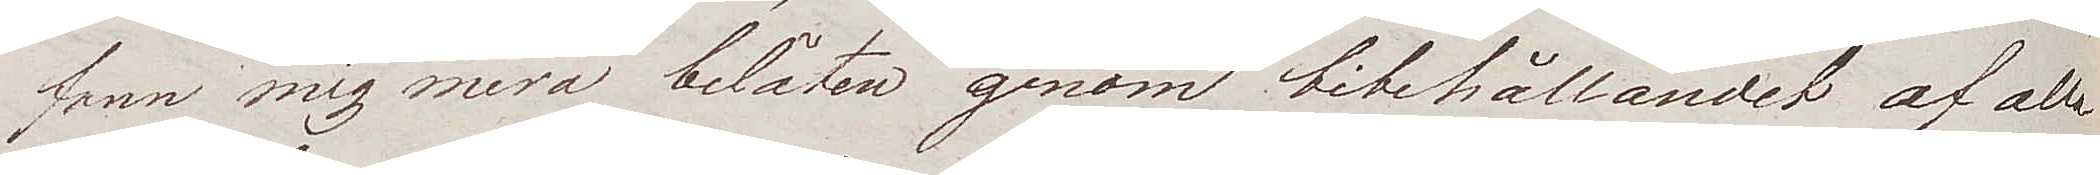fann mig mera belåten genom bibehållandet af alla
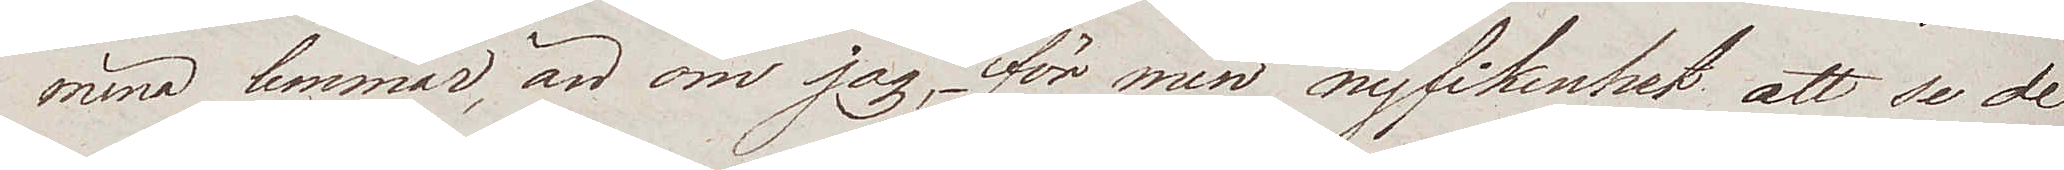mina lemmar, än om jag, för min nyfikenhet att se de
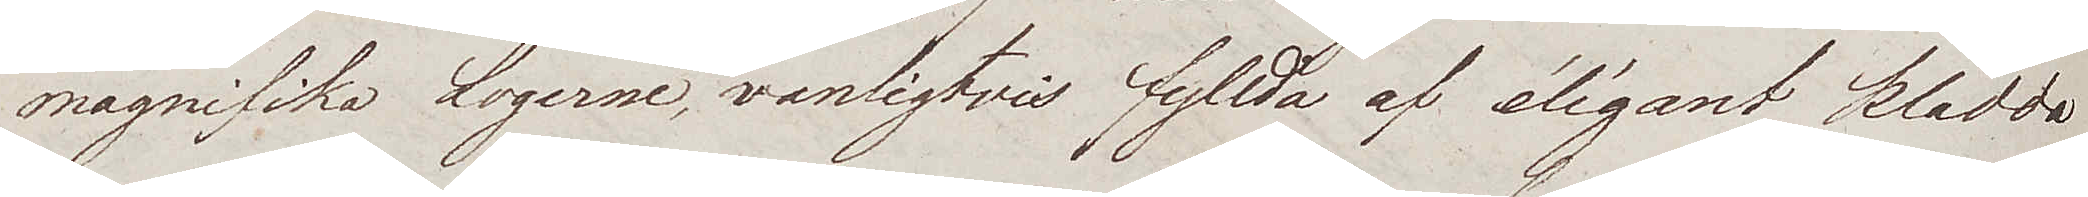magnifika Logerne, vanligtvis fyllda af élégant klädda
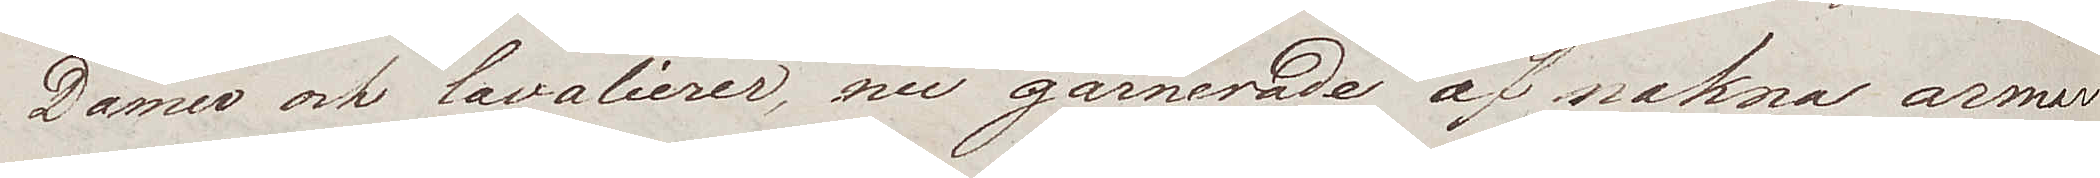Damer och Cavalierer, nu garnerade af nakna armer
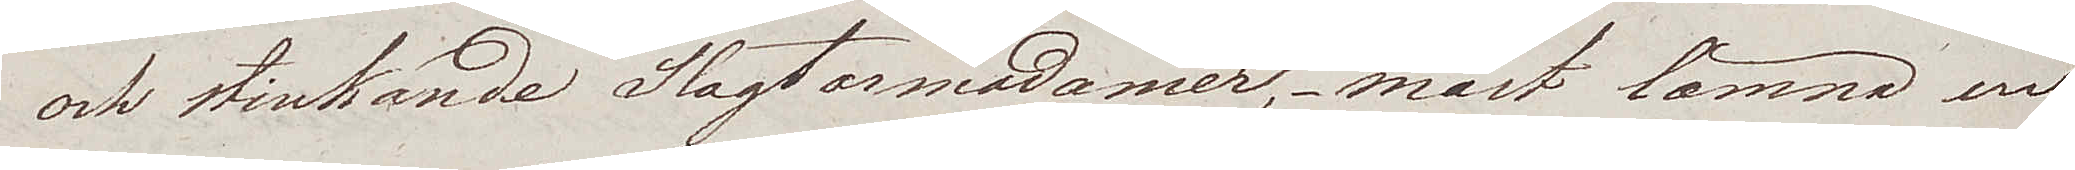och stinkande Slagtarmadamer, – måst lämna en
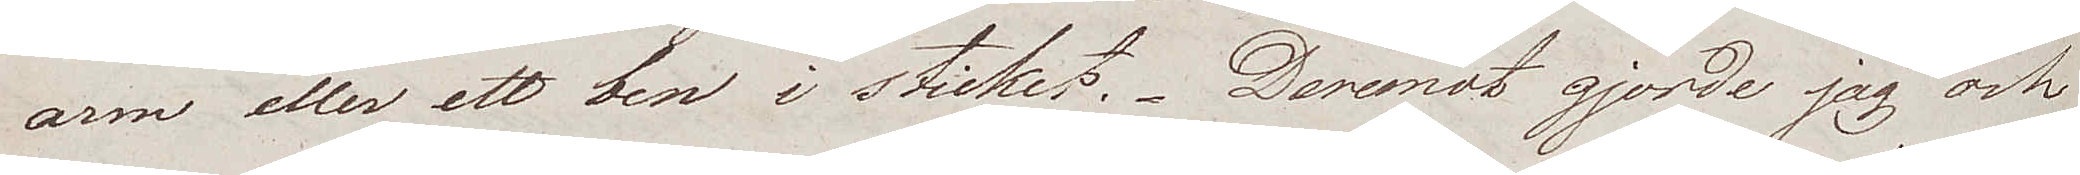arm eller ett ben i sticket. Deremot gjorde jag och
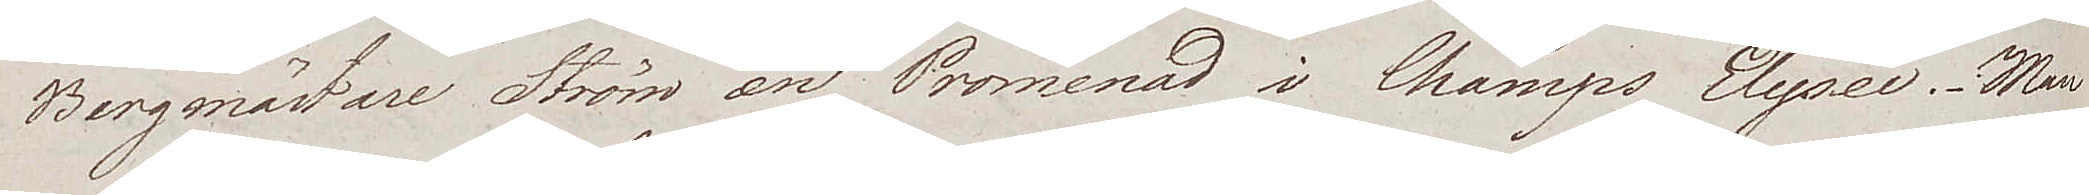Bergmästare Ström en Promenad i Champs Elysée. Man
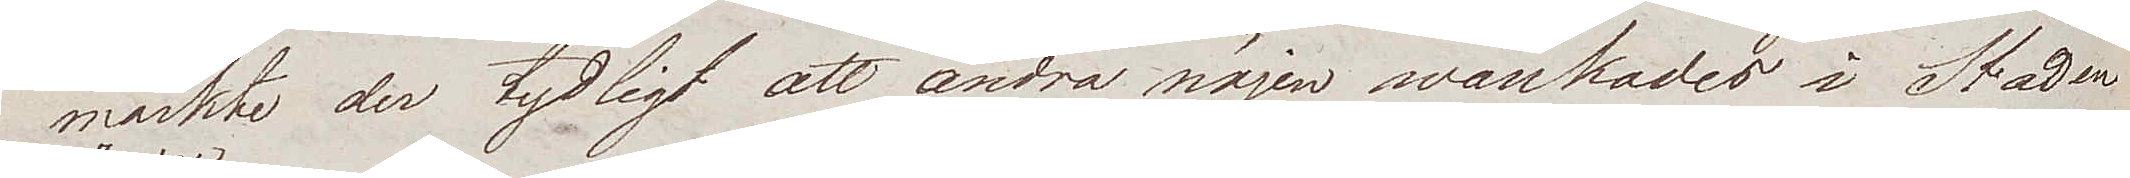märkte der tydligt att andra nöjen wankades i Staden
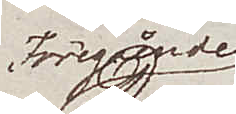Föregående
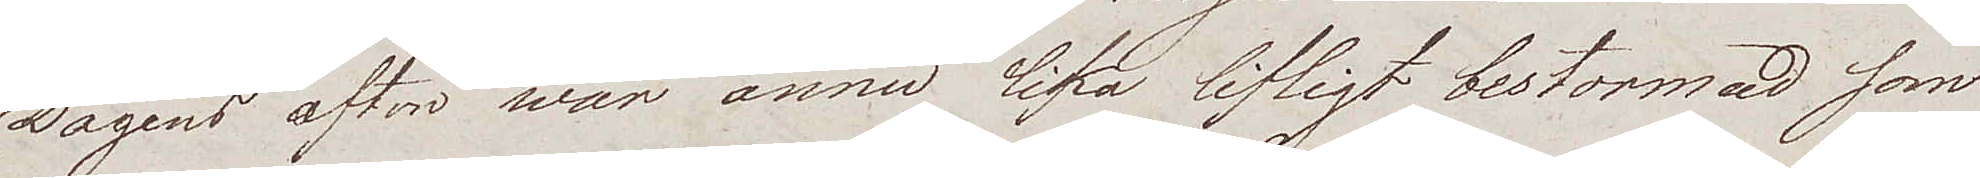Dagens afton war ännu lika lifligt bestormad som
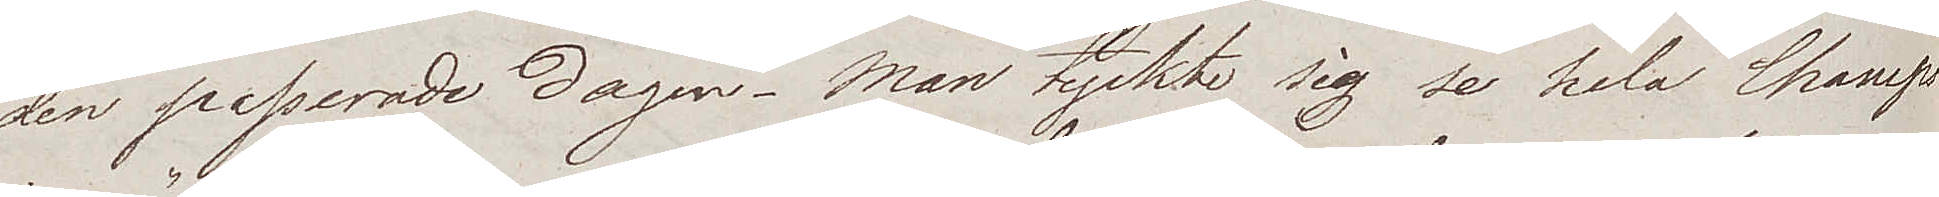den passerade dagen. Man tyckte sig se hela Champs
